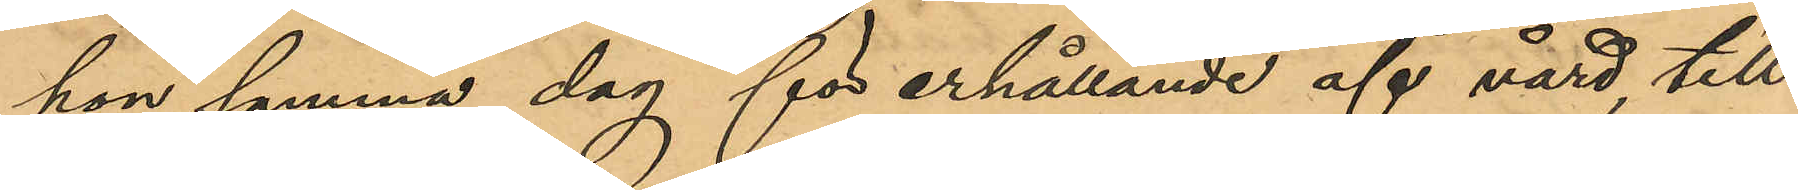hon samma dag för erhållande af vård till
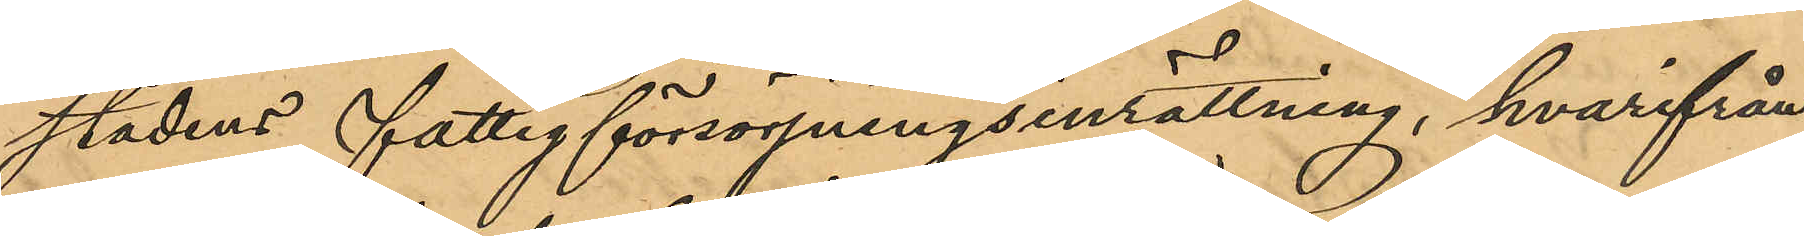stadens fattigförsörjningsinrättning, hvarifrån
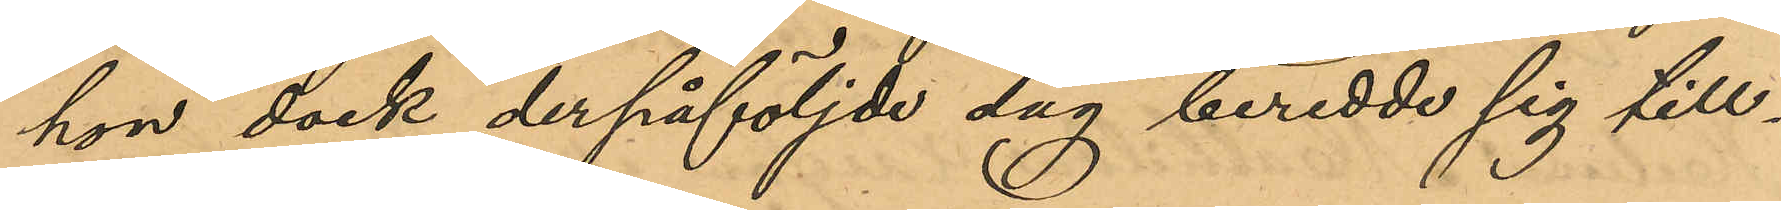hon dock derpåföljde dag beredde sig till¬
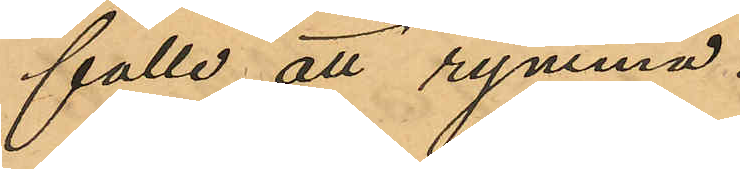fälle att rymma.
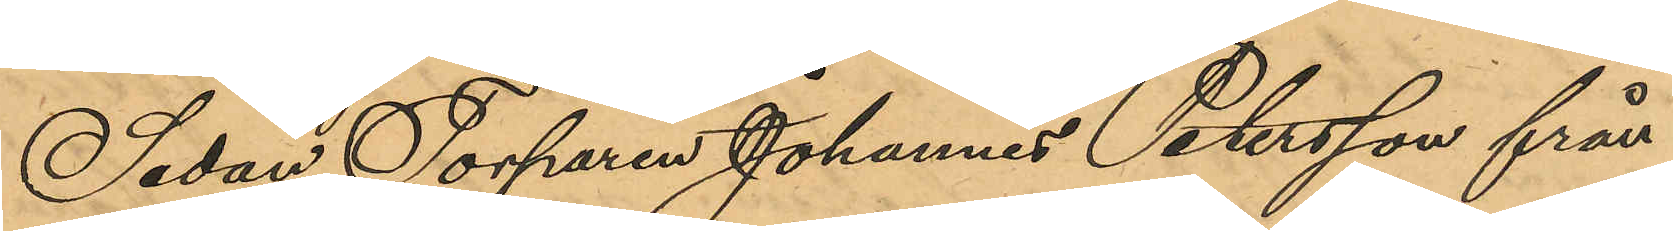Sedan Torparen Johannes Petersson från
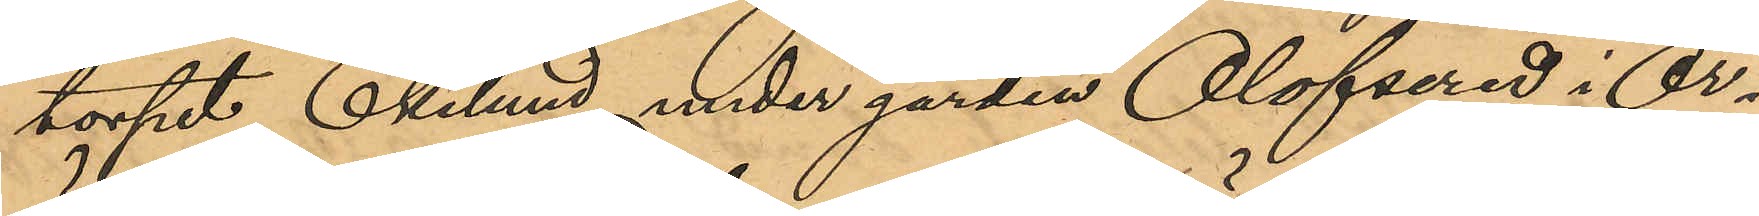torpet Ekelund under gården Olofsered i Ör¬
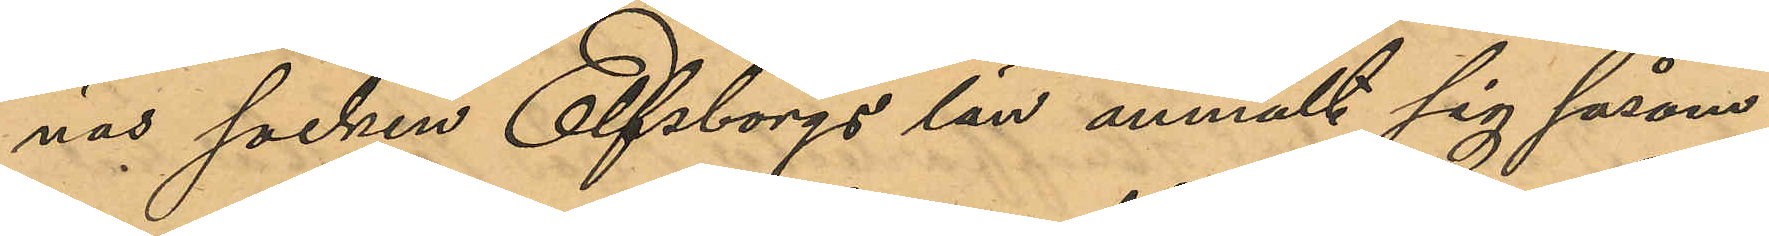näs socken Elfsborgs län anmält sig såsom
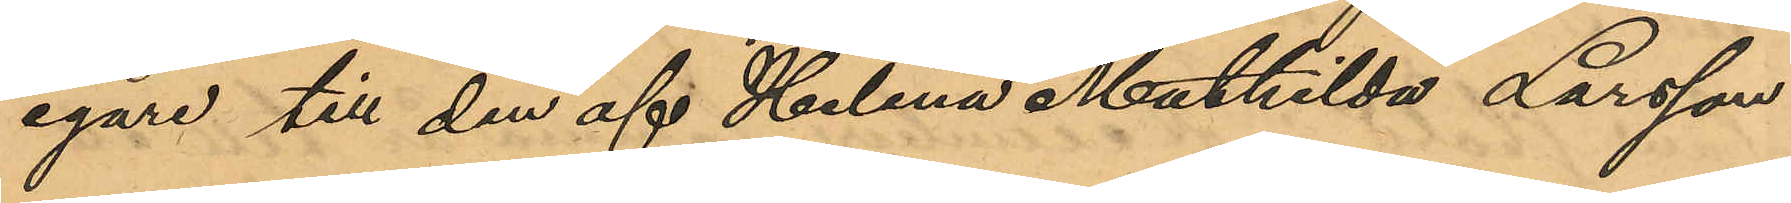egare till den af Helena Mathilda Larsson
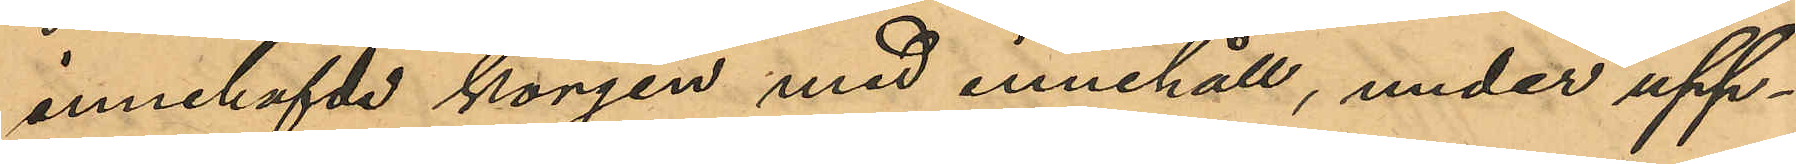innehafvde korgen med innehåll, under upp¬
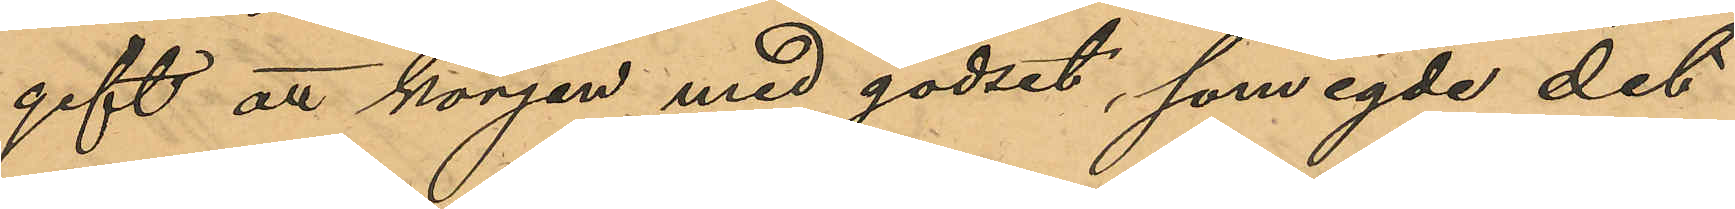gift att korgen med godset, som egde det
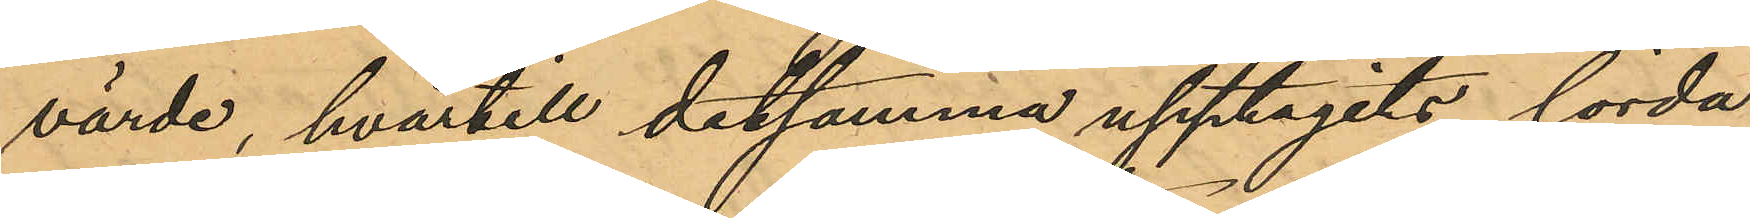värde, hvartill detsamma upptagits, lörda¬
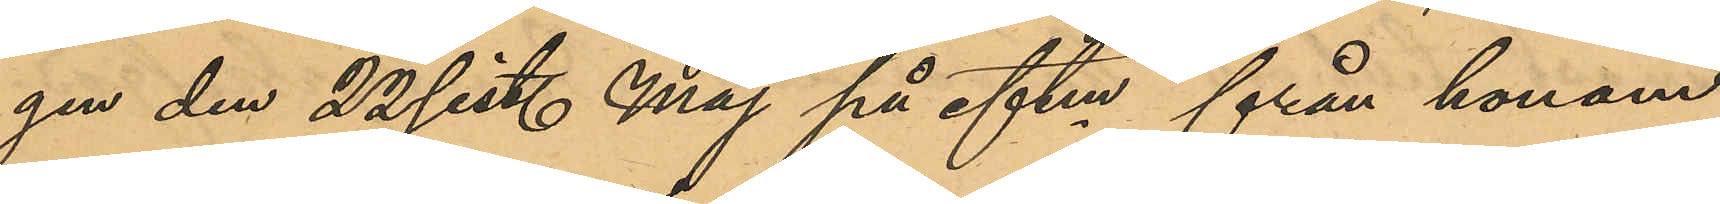gen den 22 sist. Maj på eftm från honom
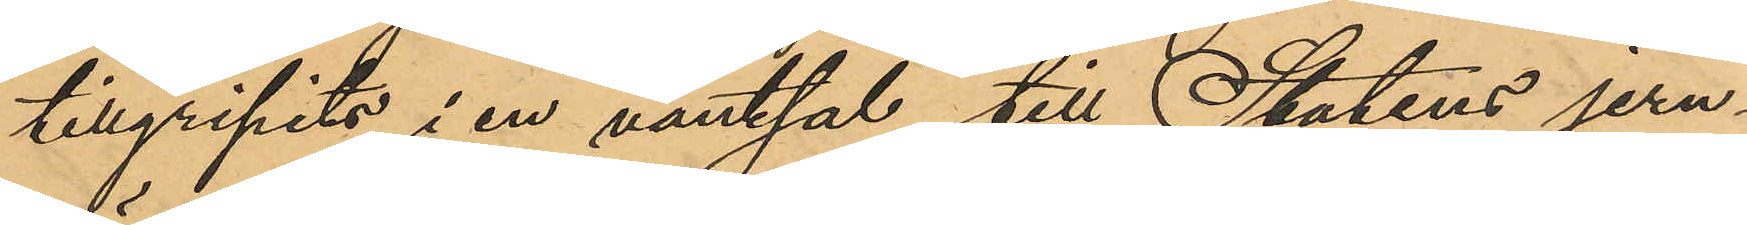tillgripits i en väntsal till Statens jern¬
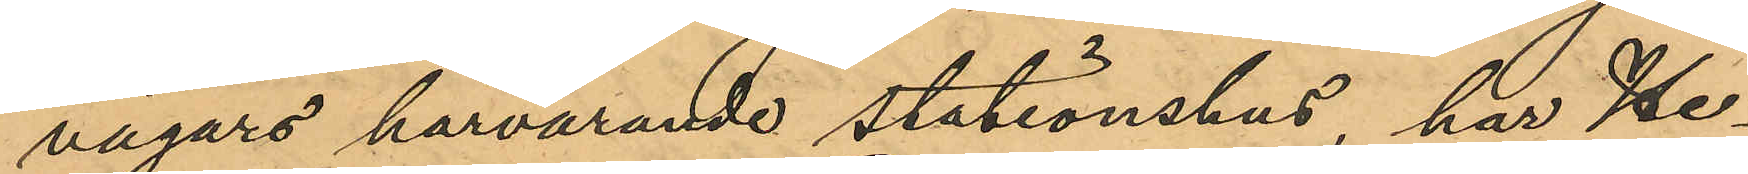vägars härvarande stationshus, har He¬
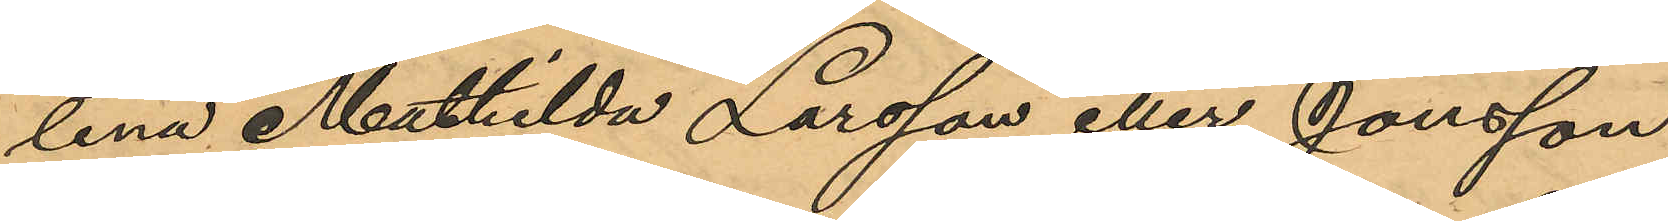lena Mathilda Larsson eller Jonsson
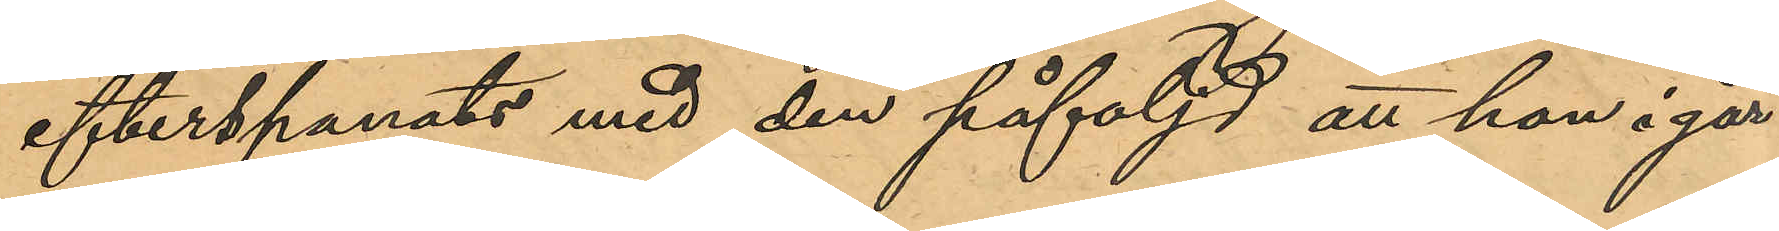efterspanats med den påföljd att hon i går
